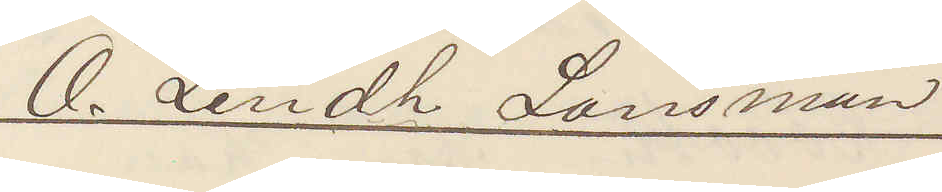O. Lindh Länsman.
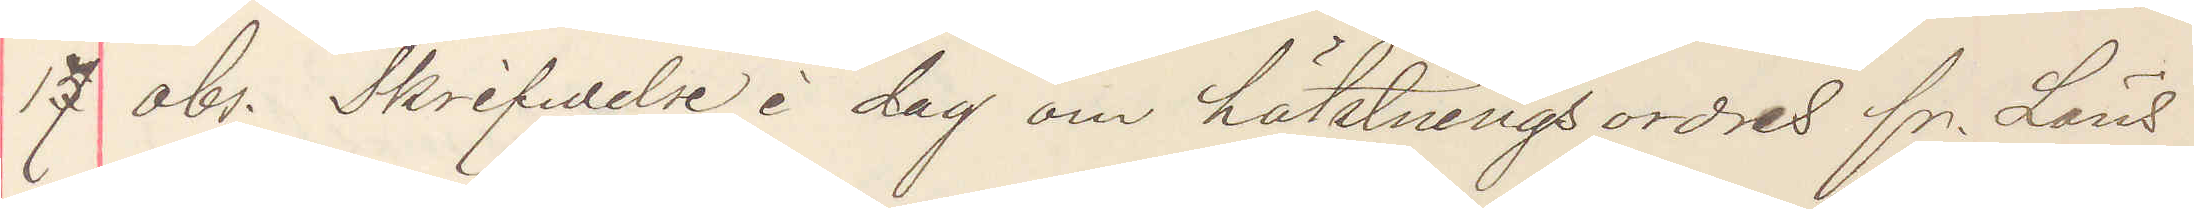17 obs. Skrifvelse i dag om häktningsordres fr. Läns¬
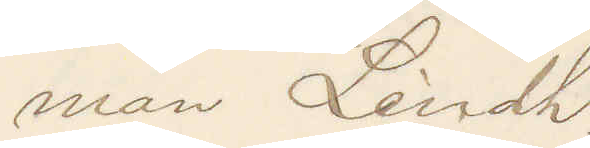man Lindh.
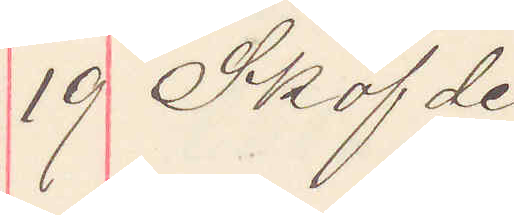19 Sköfde
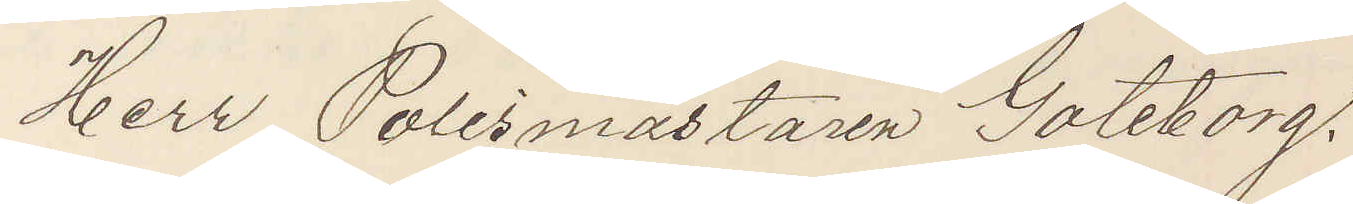Herr Polismästaren Göteborg.
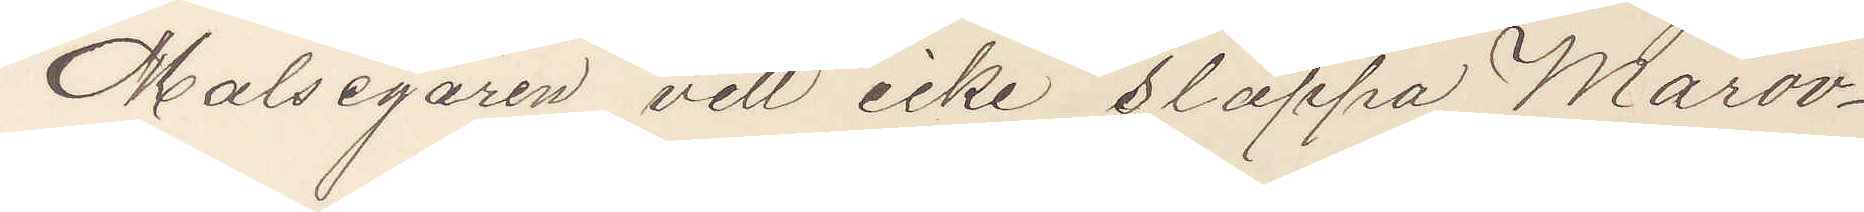Målsegaren vill icke släppa Marov¬
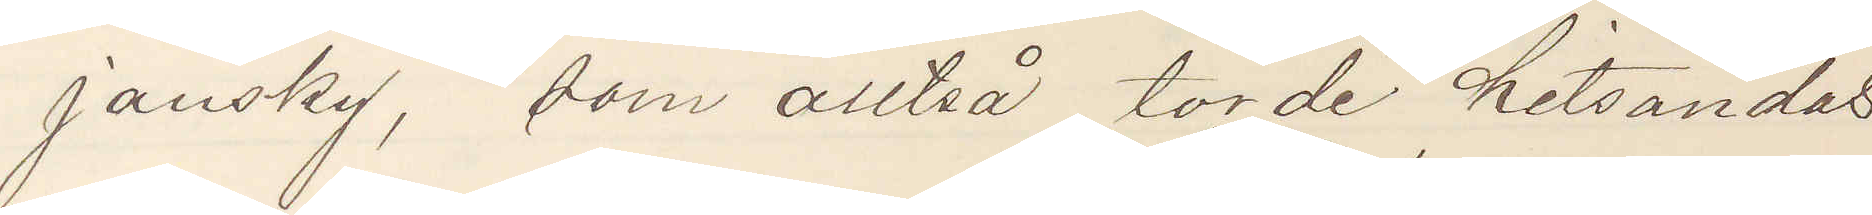jansky, som alltså torde hitsändas
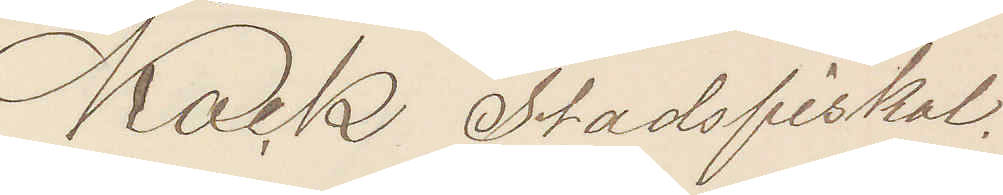Kark Stadsfiskal.
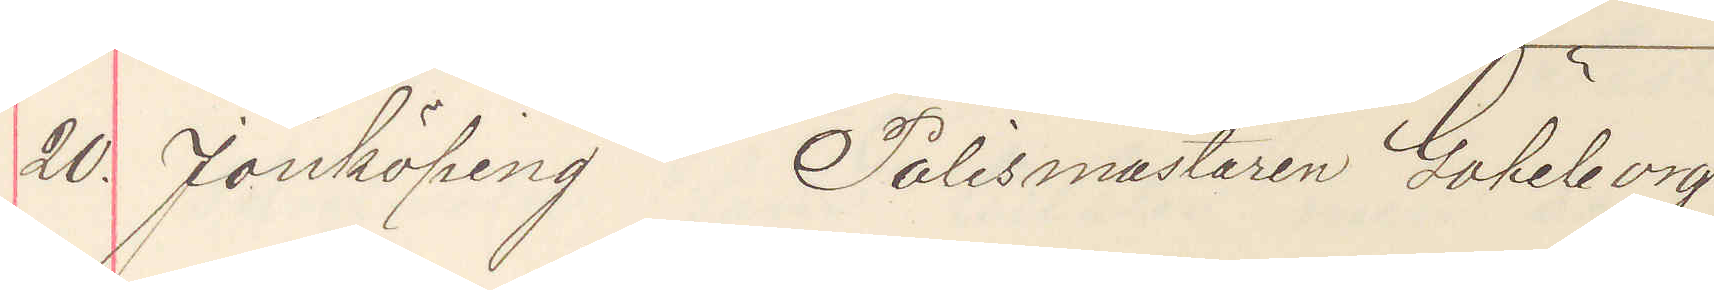20. Jönköping Polismästaren Göteborg
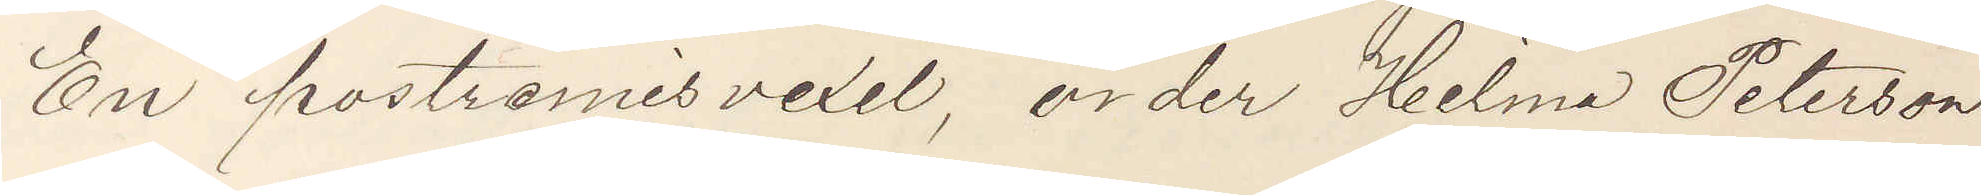En postremisvexel, order Hilma Peterson
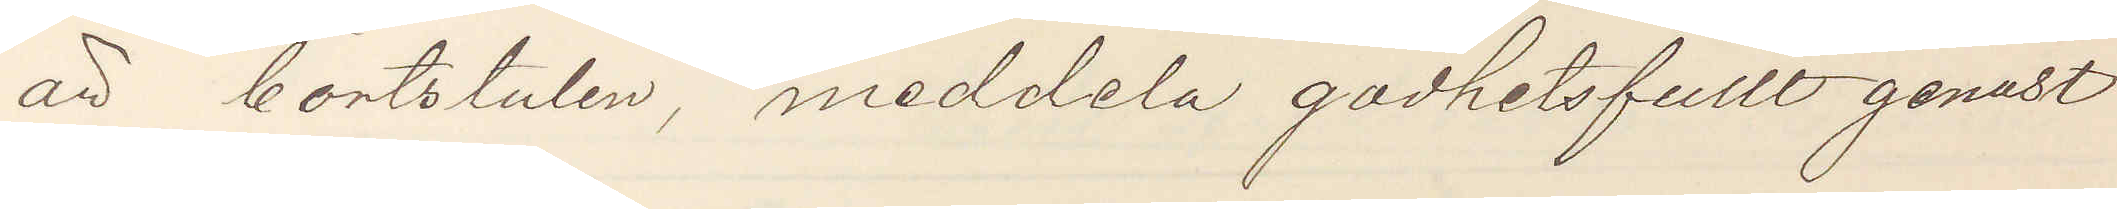är bortstulen, meddela godhetsfullt genast
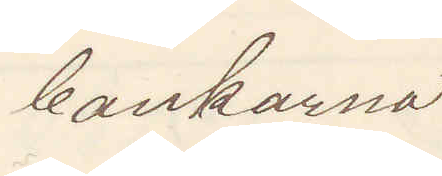bankerna.
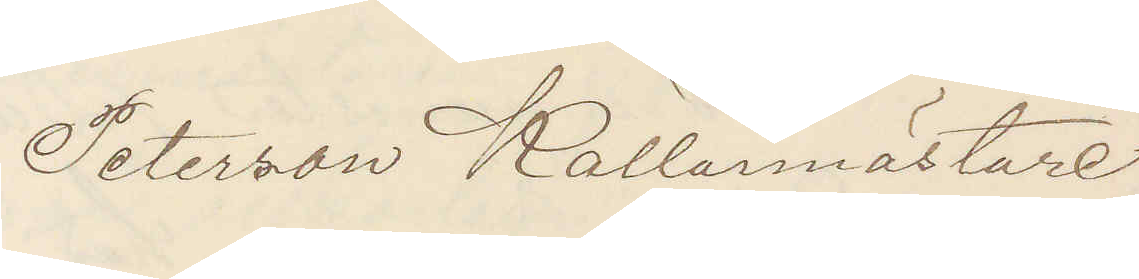Peterson Källarmästare
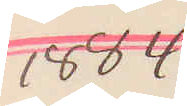1884
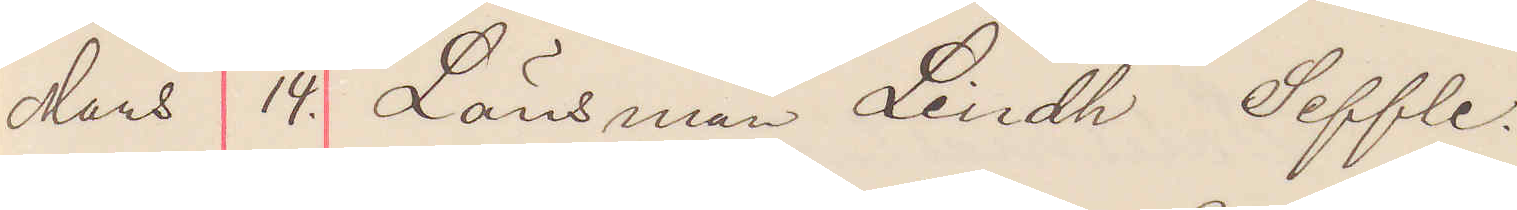Mars 14. Länsman Lindh Seffle.
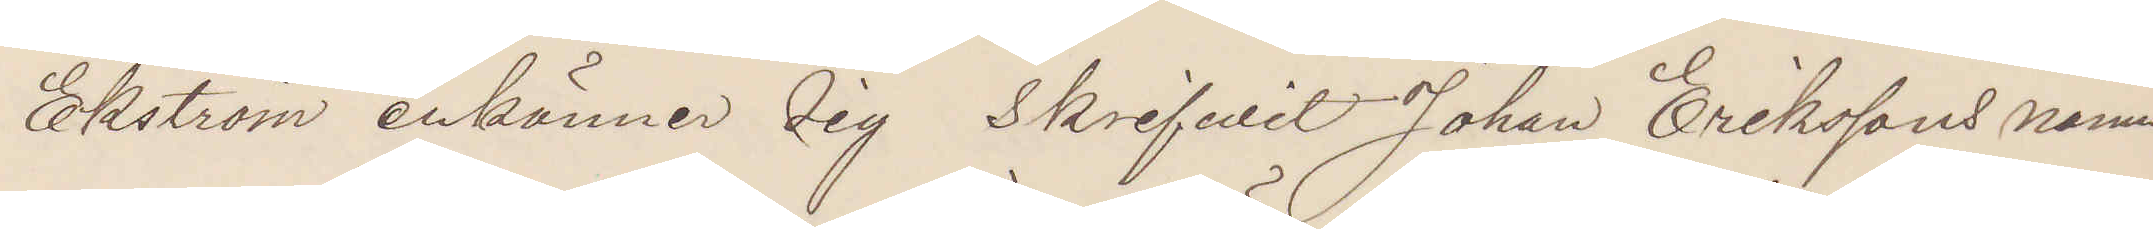Ekström erkänner sig skrifvit Johan Erikssons namn
